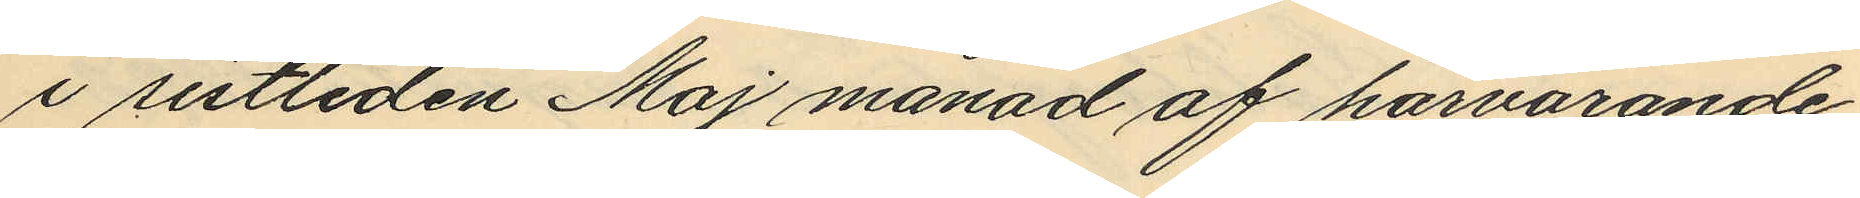i sistliden Maj månad af härvarande
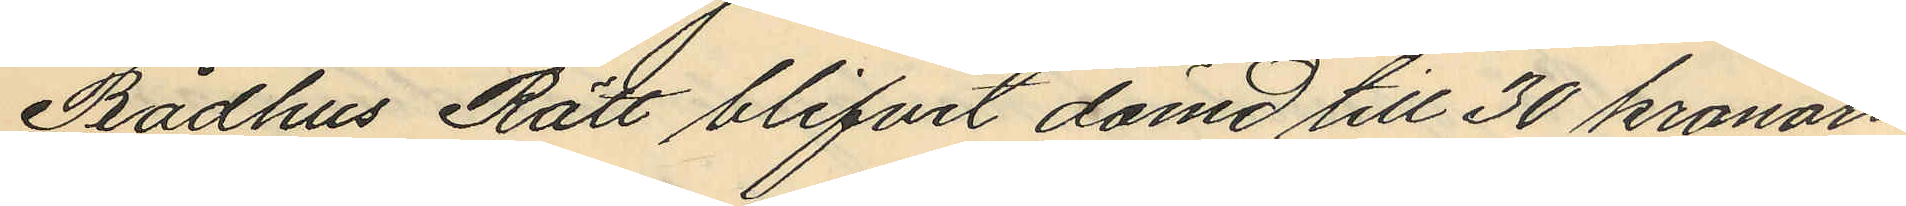Rådhus Rätt blifvit dömd till 30 kronors
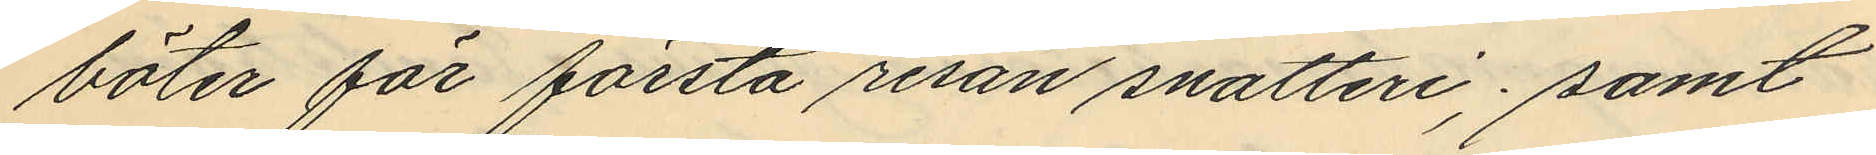böter för första resan snatteri; samt
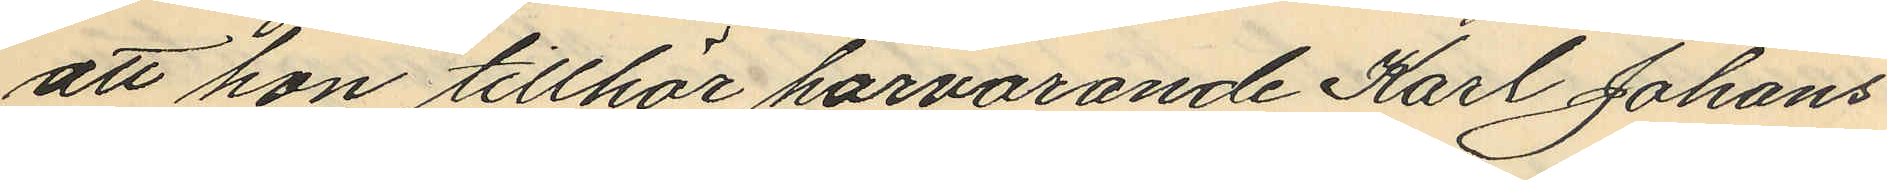att hon tillhör härvarande Karl Johans¬
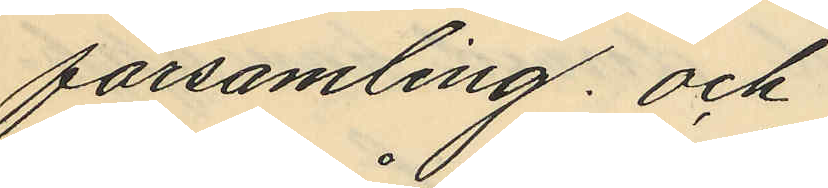församling; och
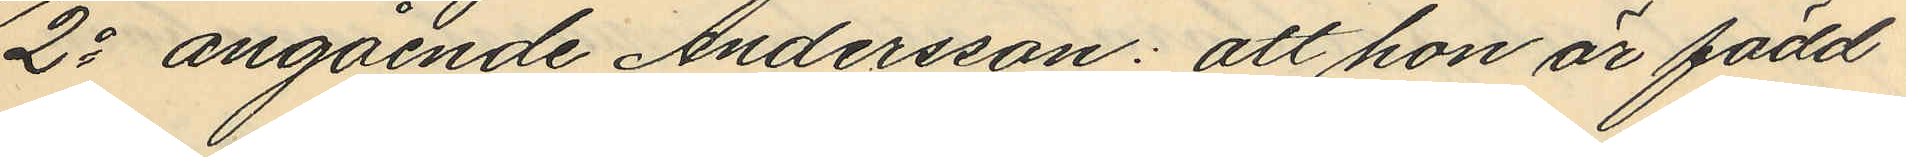2o angående Andersson: att hon är född
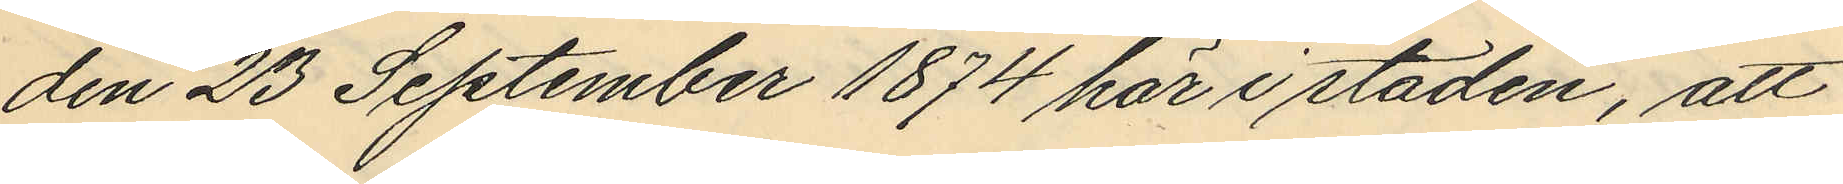den 23 September 1874 här i staden, att
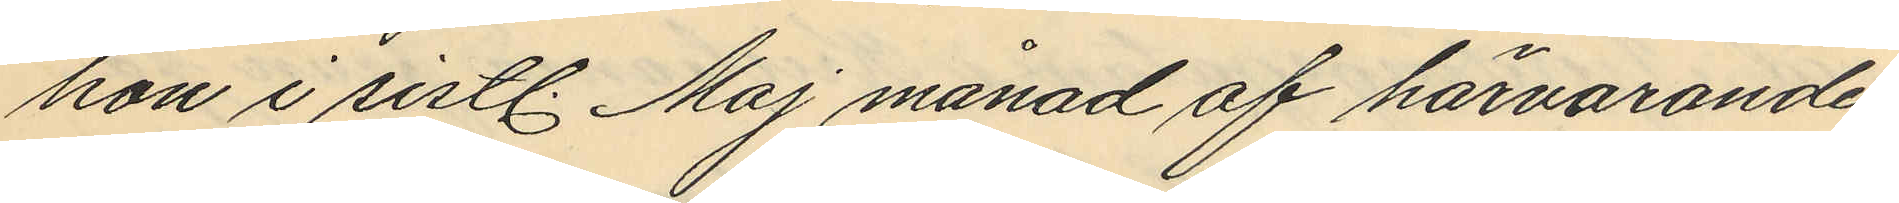hon i sistl. Maj månad af härvarande
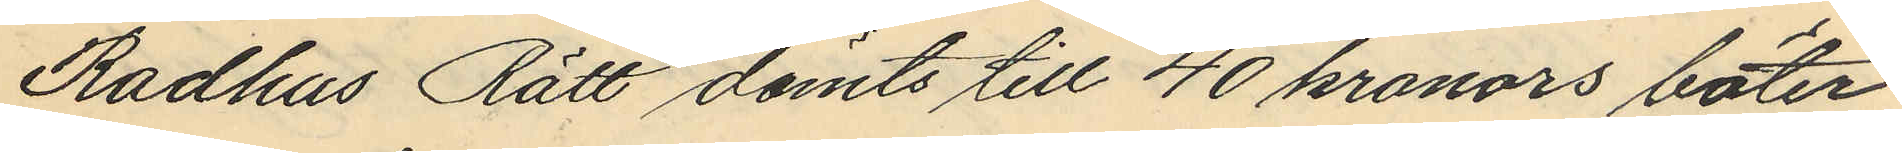Rådhus Rätt dömts till 40 kronors böter
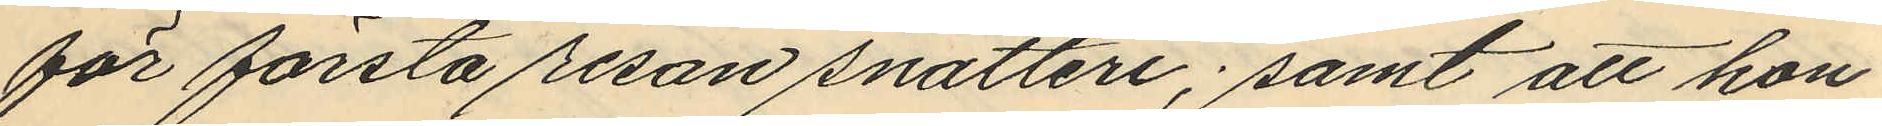för första resan snatteri; samt att hon
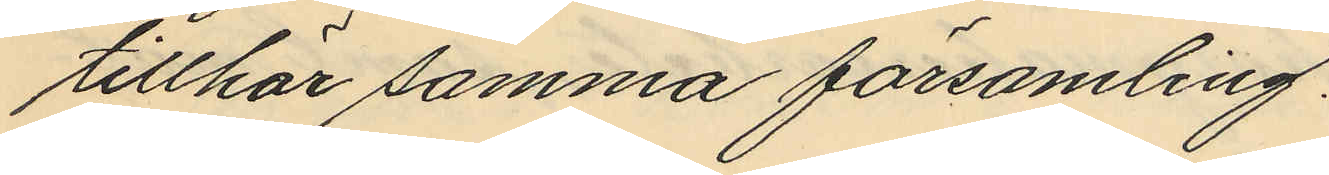tillhör samma församling.
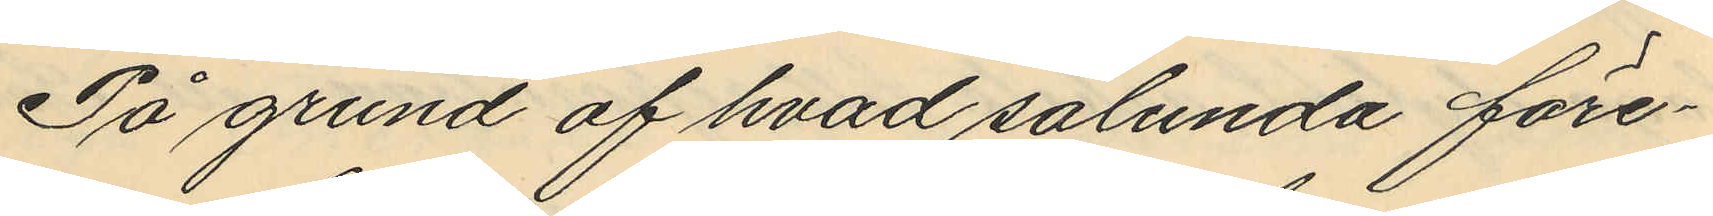På grund af hvad sålunda före¬
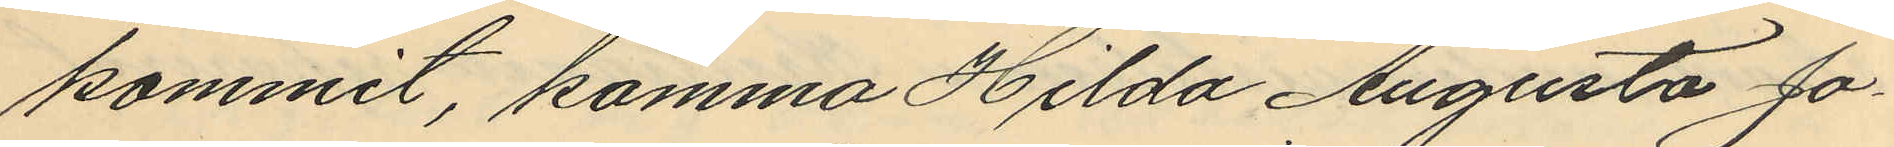kommit, komma Hilda Augusta Jo¬
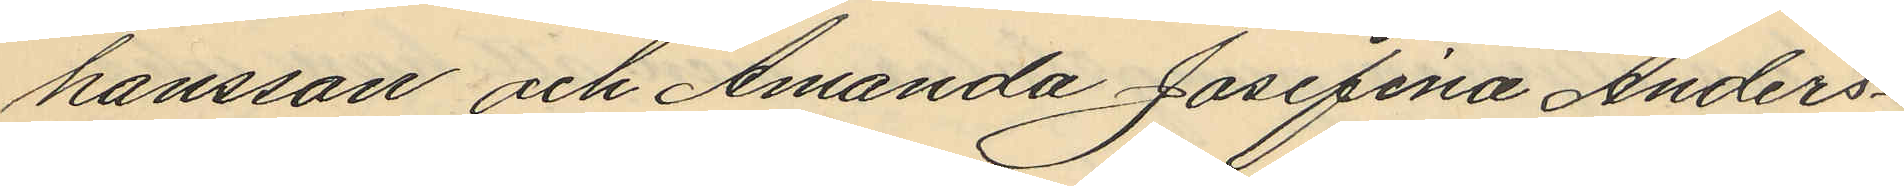hansson och Amanda Josefina Anders¬
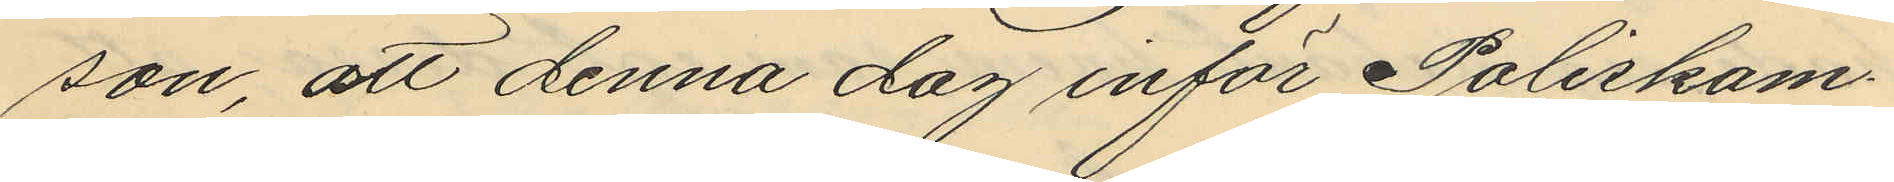son, att denna dag inför Poliskam¬
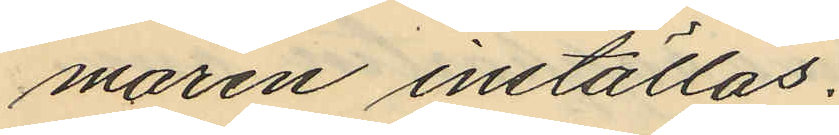maren inställas.
